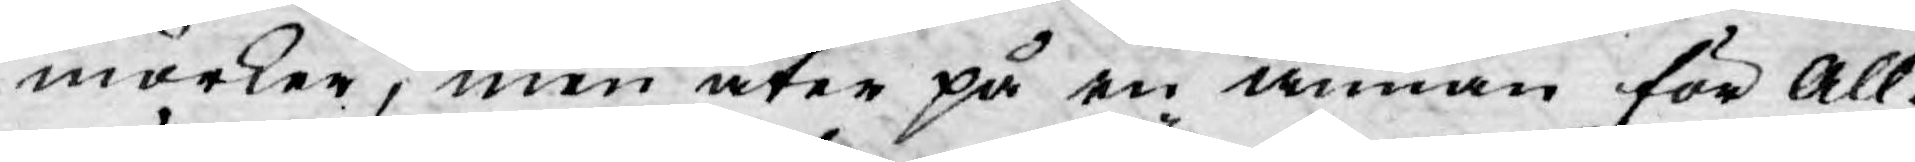mörker, men åter på en annan för All¬
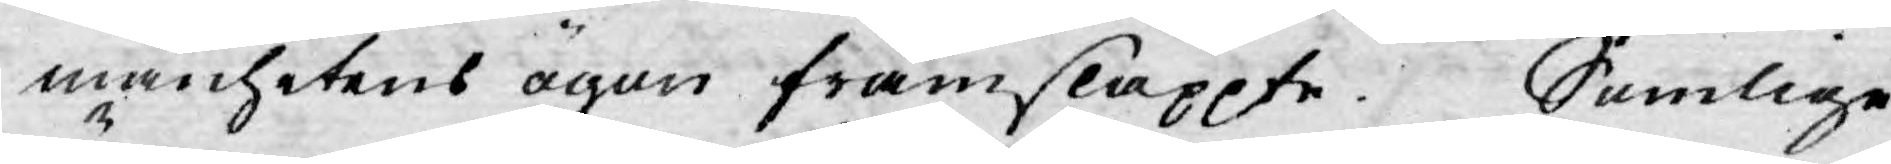mänhetens ögon framsläppte. Somlige
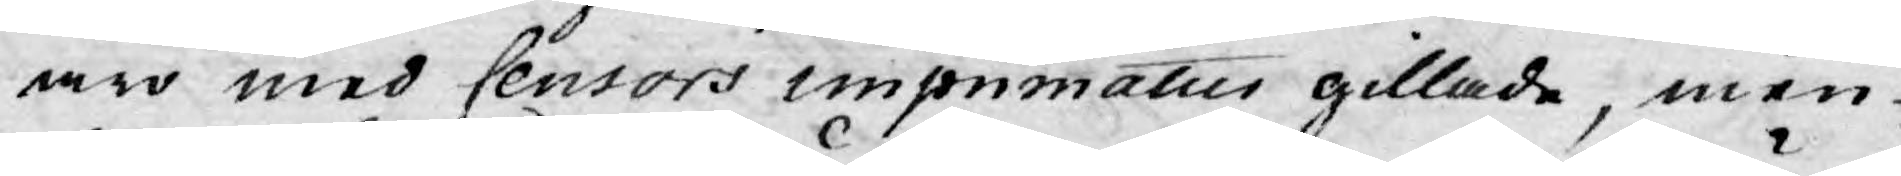äro med Censors imprimatus gillade, men
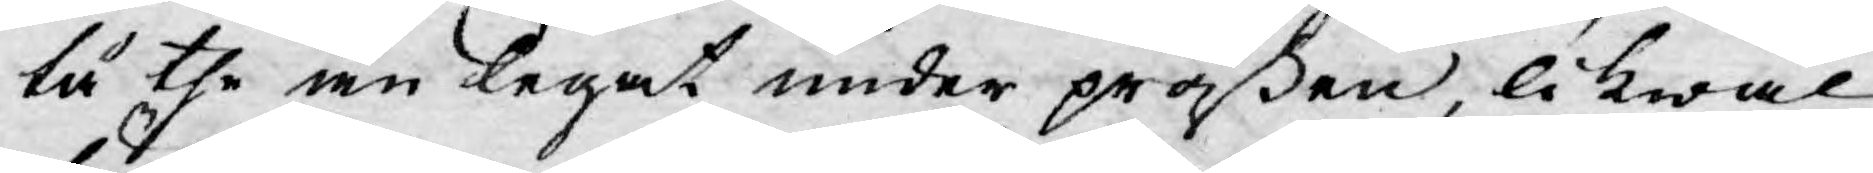tå the än legat under präßen, likwäl
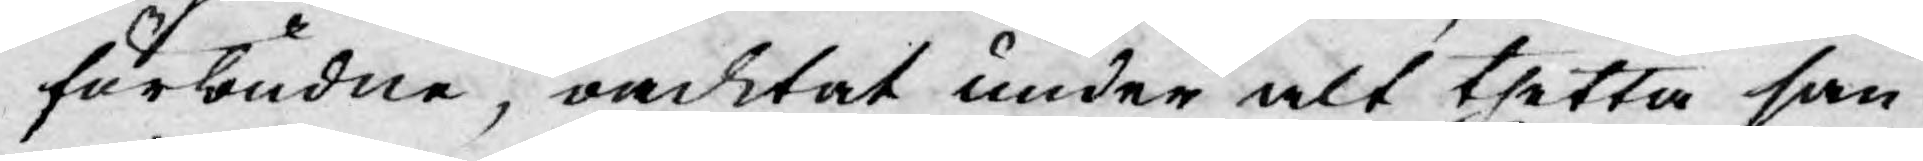förbudne, oacktat under alt thetta san¬
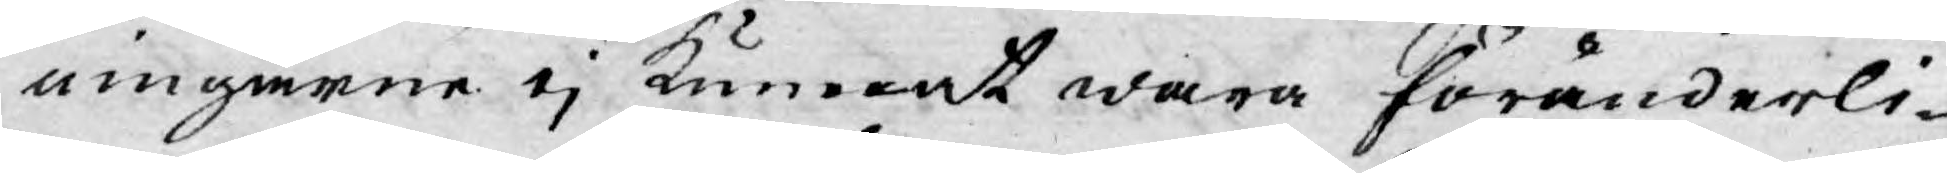ningarne ej kunnat wara föränderli¬
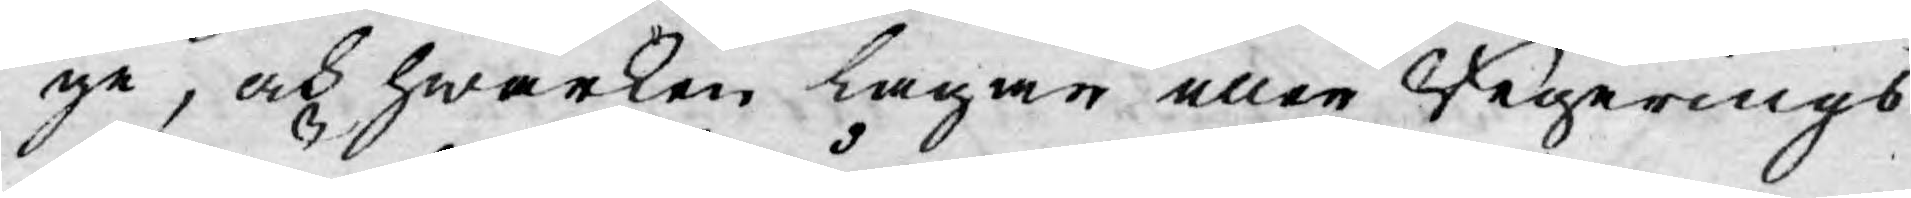ge, och hwarken lagan eller Regerings¬
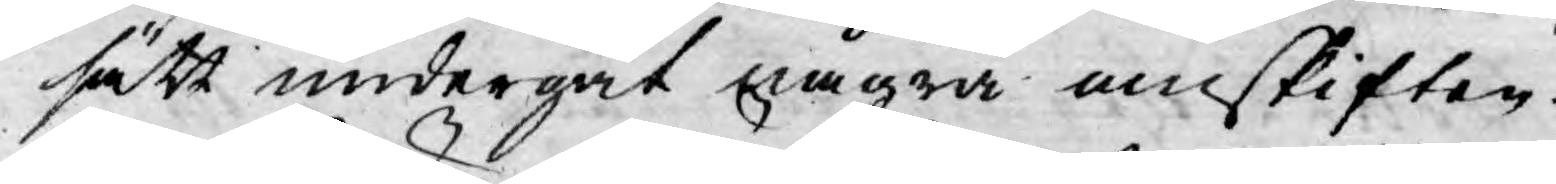sätt undergåt några omskiften.
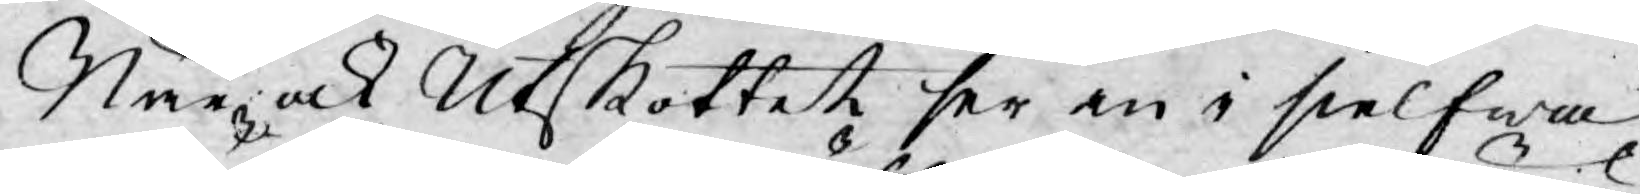När, ock Utskottet ser en i sielfwa
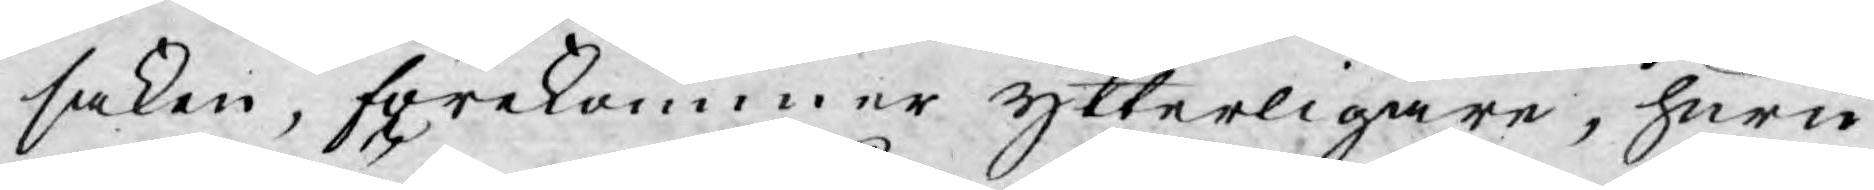saken, förekommer ytterligare, huru
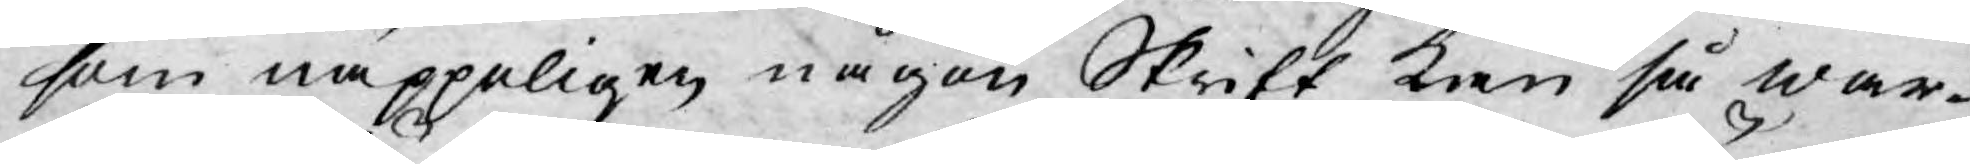som näppeligen någon Skrift kan så war¬
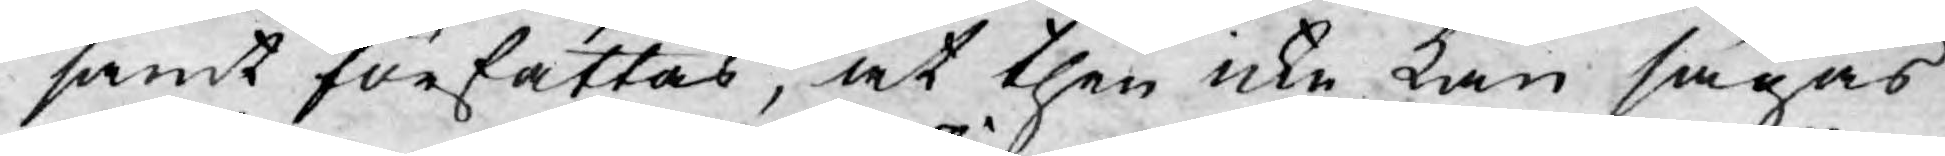samt författas, at then icke kan sägas
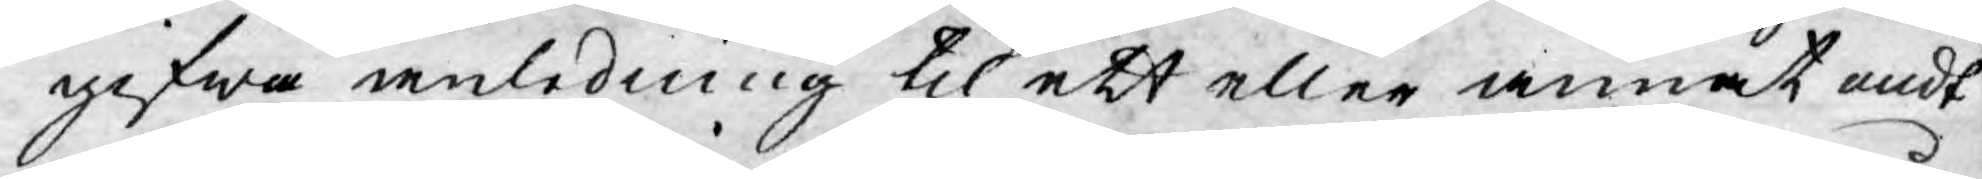gifwa anledning til ett eller annat ondt
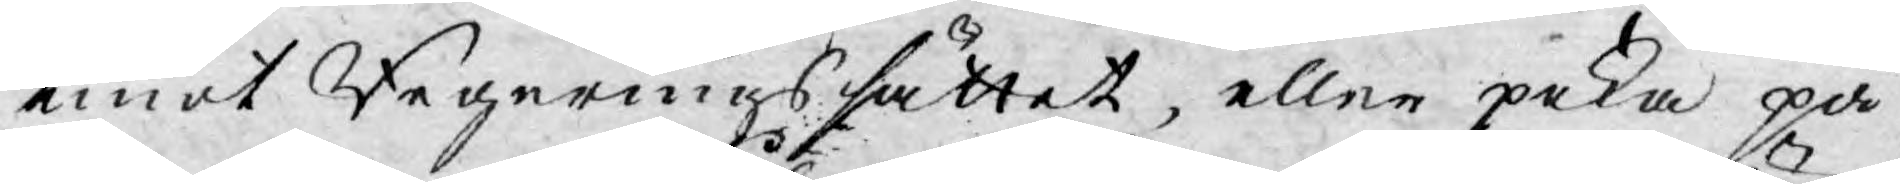emot Regeringssättet, eller peka på
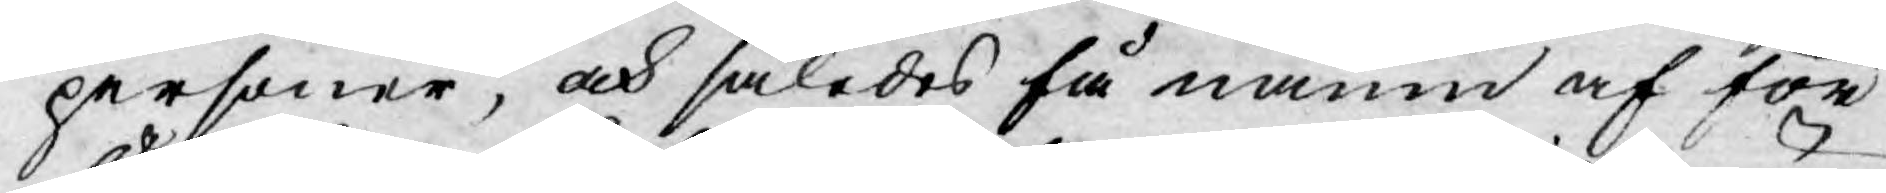personer, och således få namn af för¬
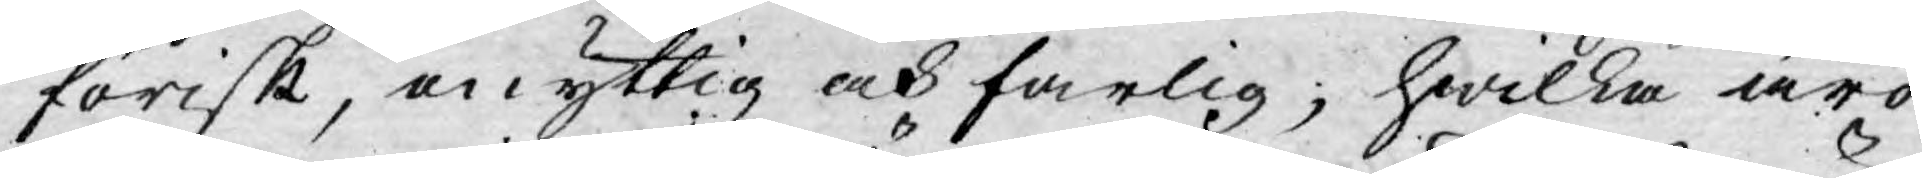förisk, onyttig och farlig; hwilka äro
